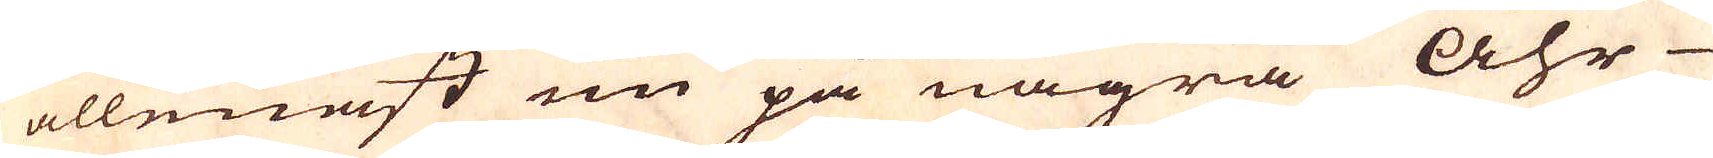allenast nu på några åhr
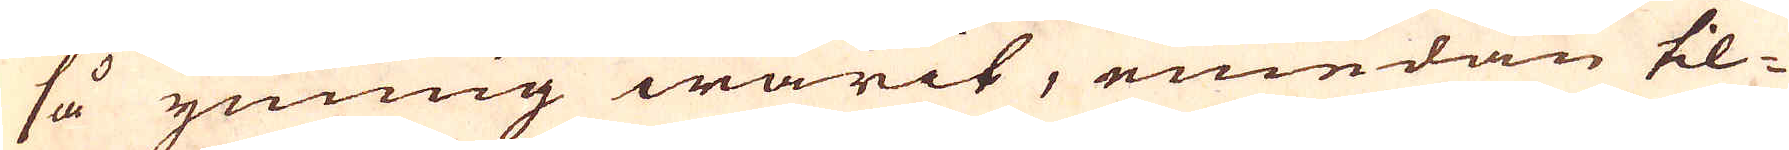så ymnig warit, emedan til-
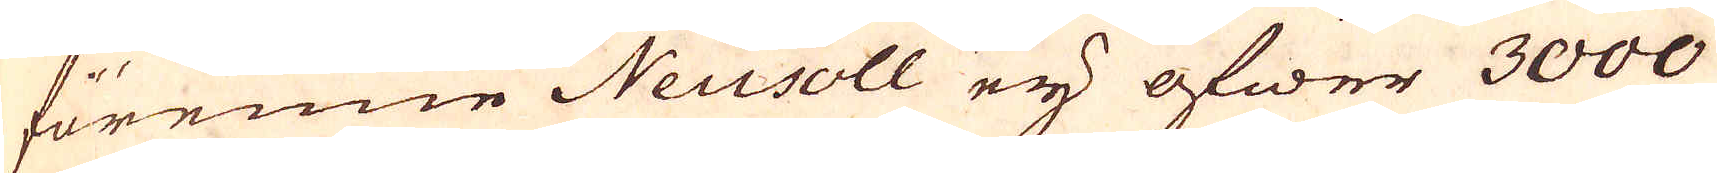förenne Neusoll ey öfwer 3000
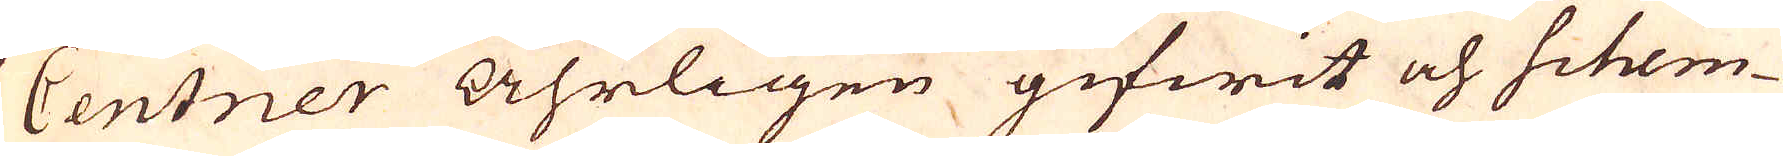Centner Åhrligen gifwit och Schem-
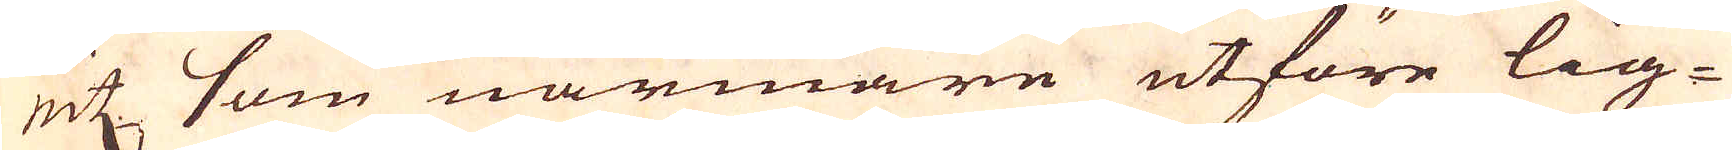nitz som närmare utföre lig-
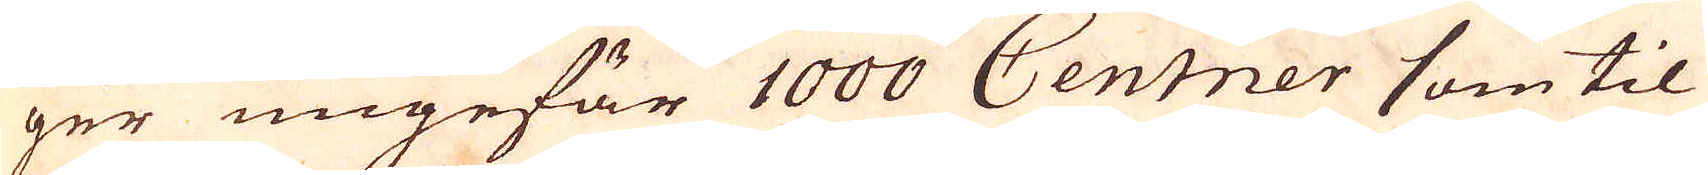ger ungefär 1000 Centner som til
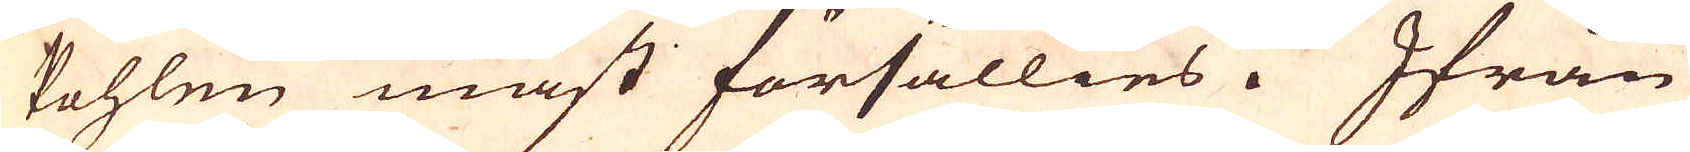Pohlen måst försällies. Ifrån
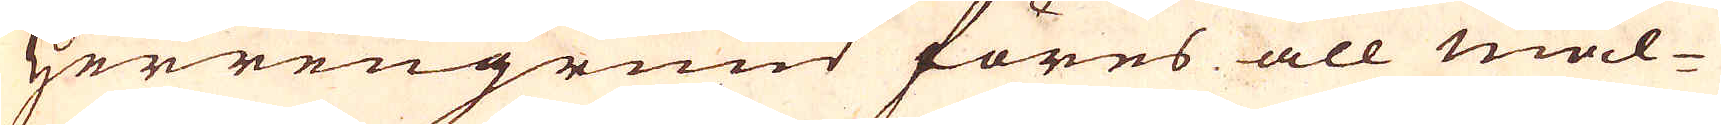Herrengrund föres all mal-
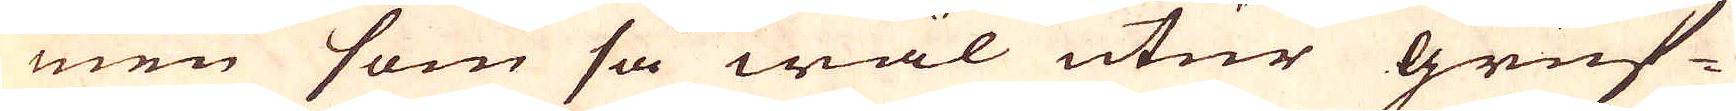men som så wäl utur gruf-
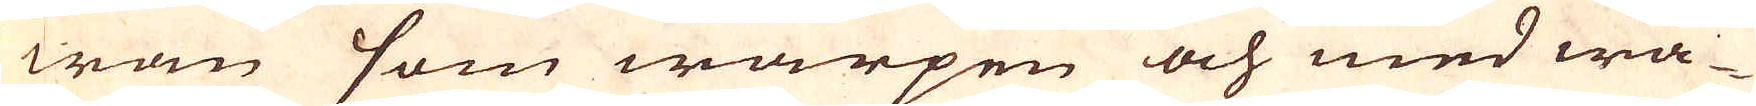wan som warpen och med wa-
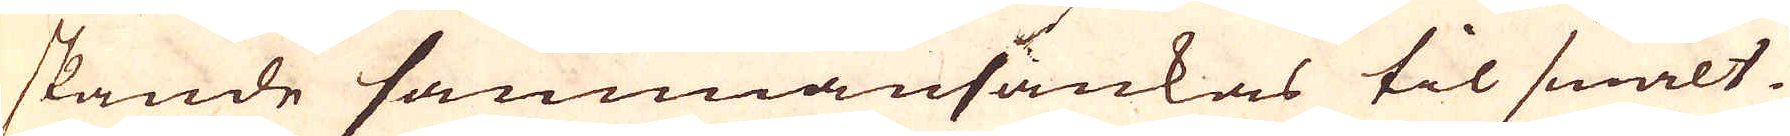skande sammansänkas til smält-
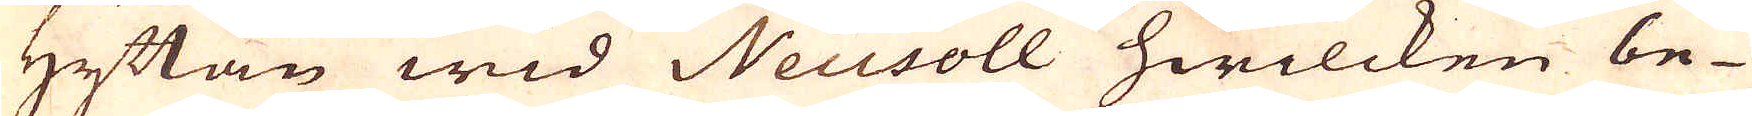Hyttan wid Neusoll hwilcken be-
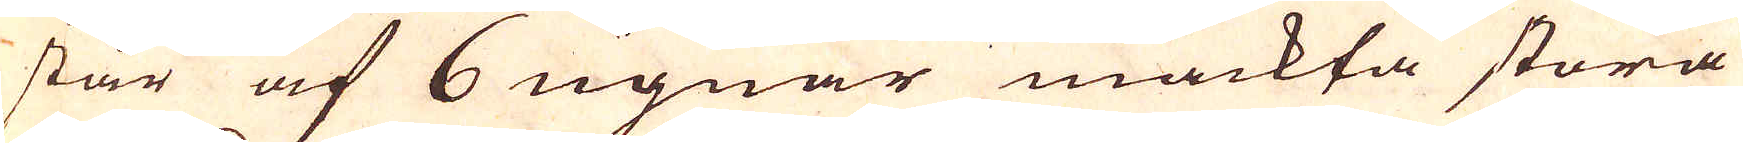står af 6 ugnar mäckta stora
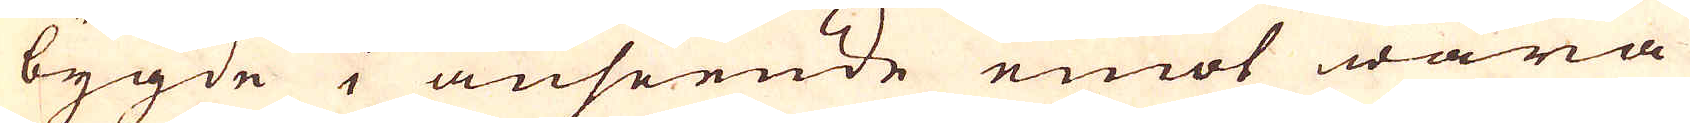bygde i anseende emot wåra
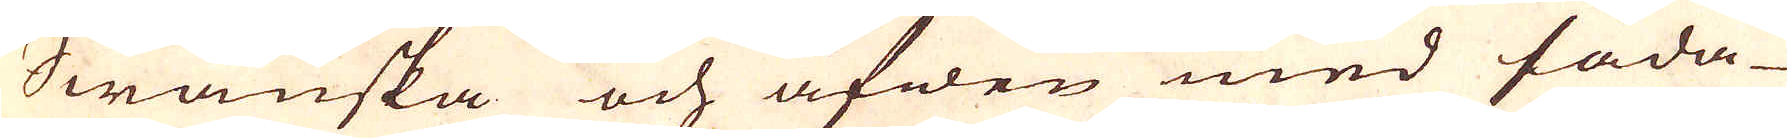Swänska och äfwen med såda-
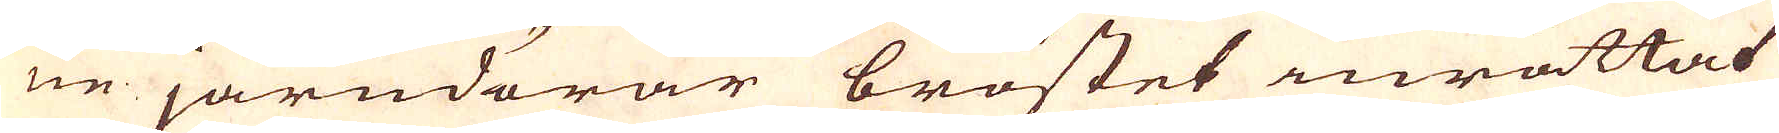ne järndörar bröstet inrättat
